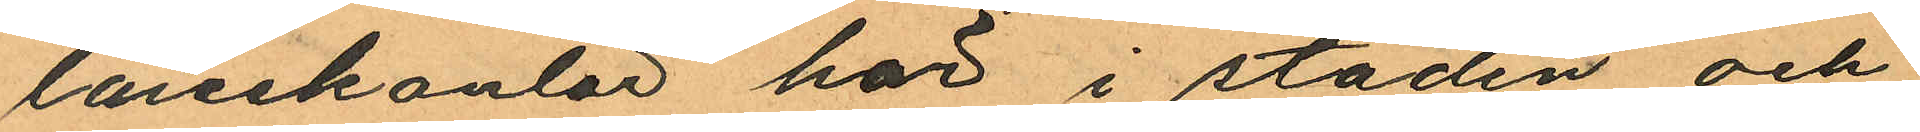lånekontor här i staden och
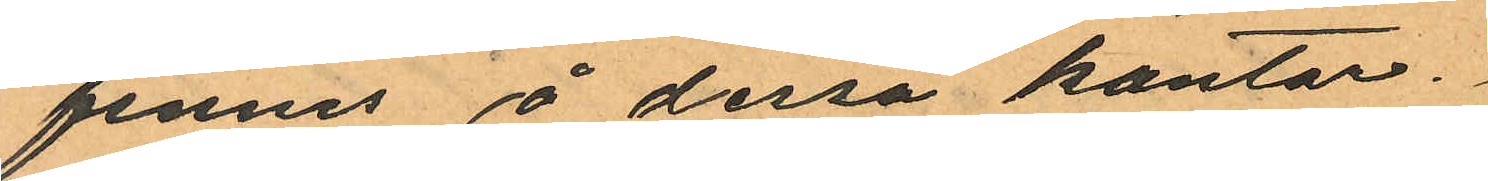finnes å dessa kontor.
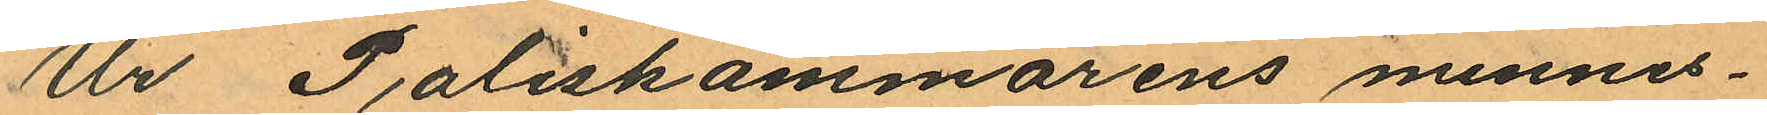Ur Poliskammarens minnes¬
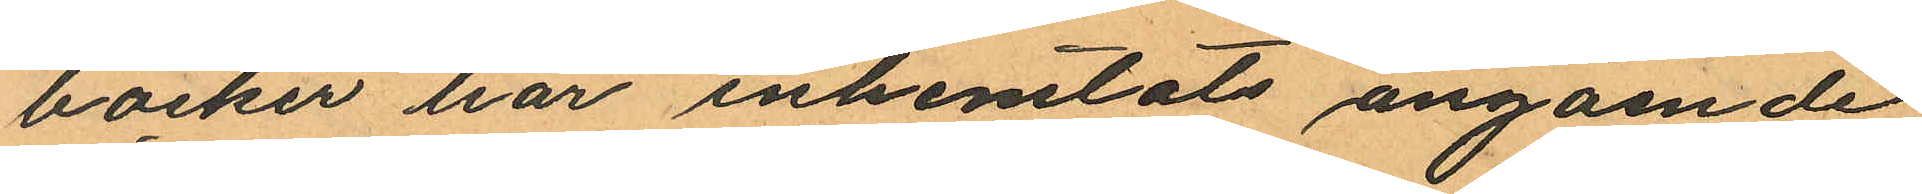böcker har inhemtats angående
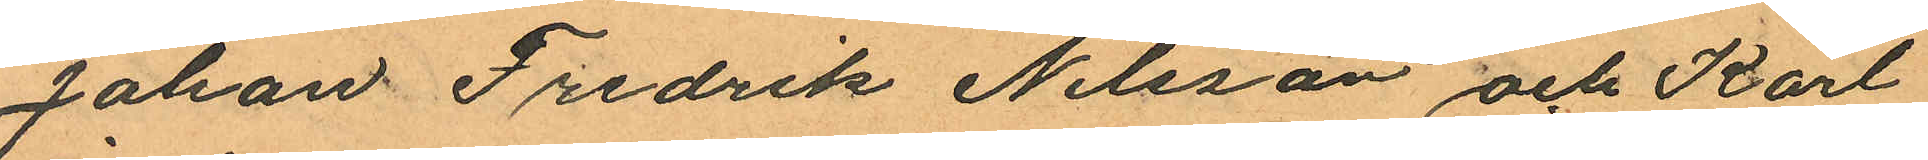Johan Fredrik Nilsson och Karl
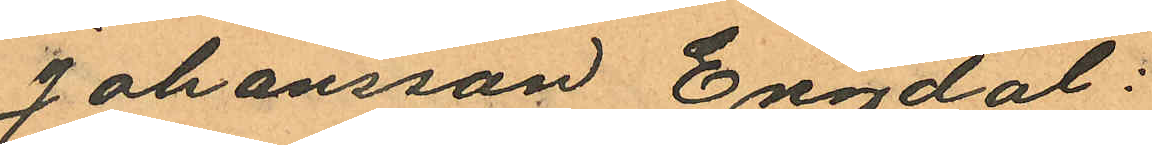Johansson Engdal:
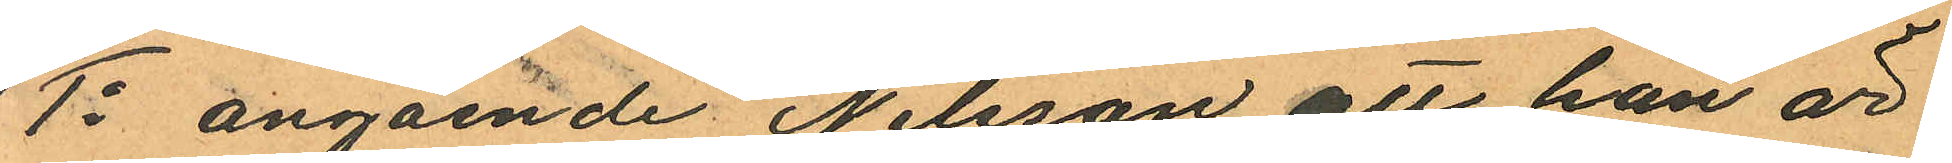1o angående Nilsson att han är
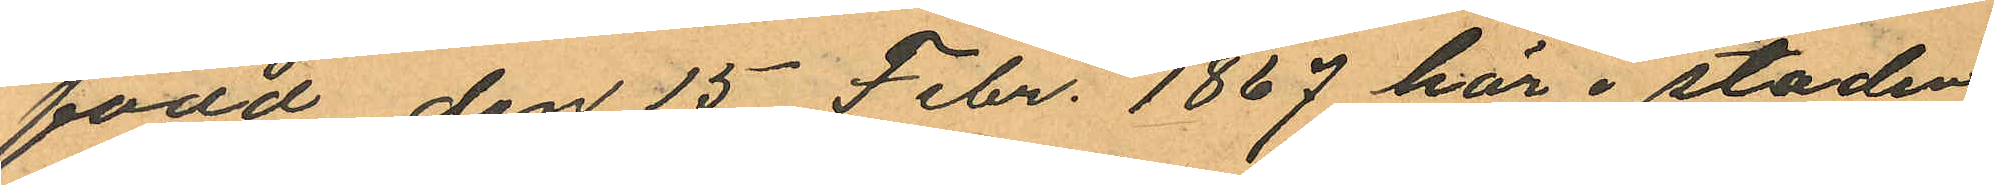född den 15 Febr. 1867 här i staden
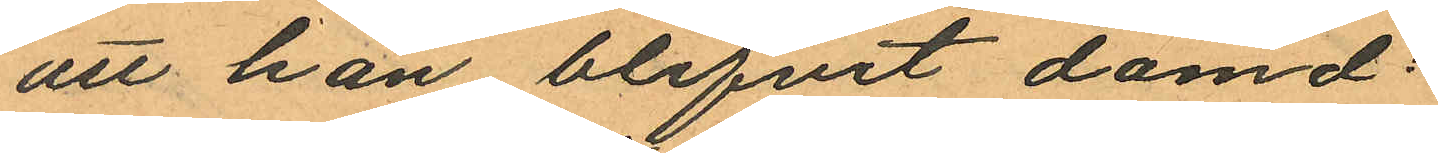att han blifvit domd:
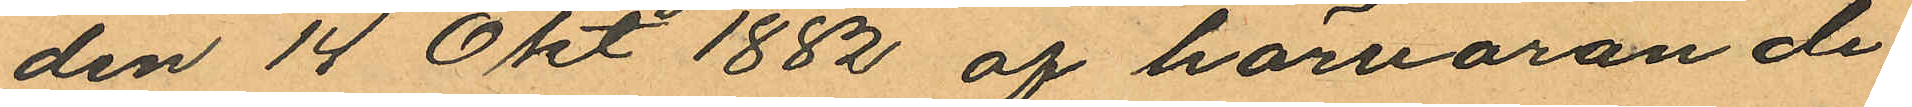den 14 Okt 1882 af härvarande
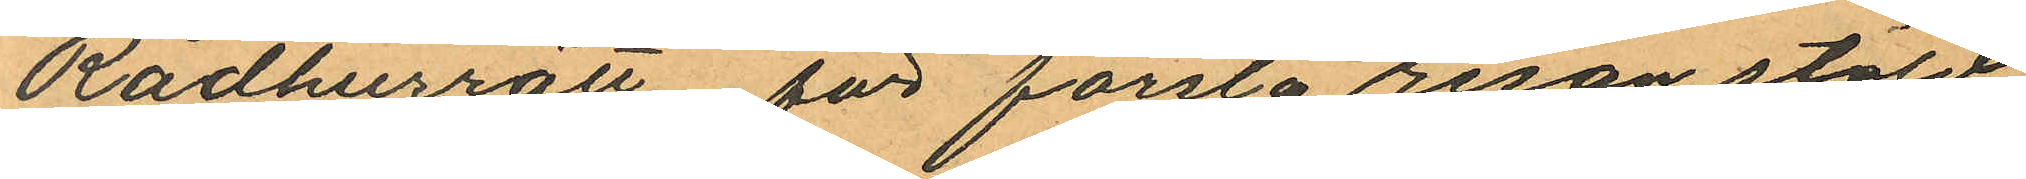Rådhusrätt för första resan stöld
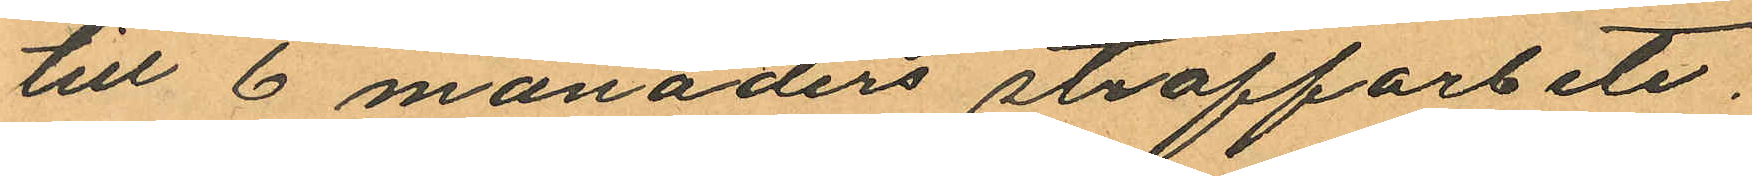till 6 månaders straffarbete.
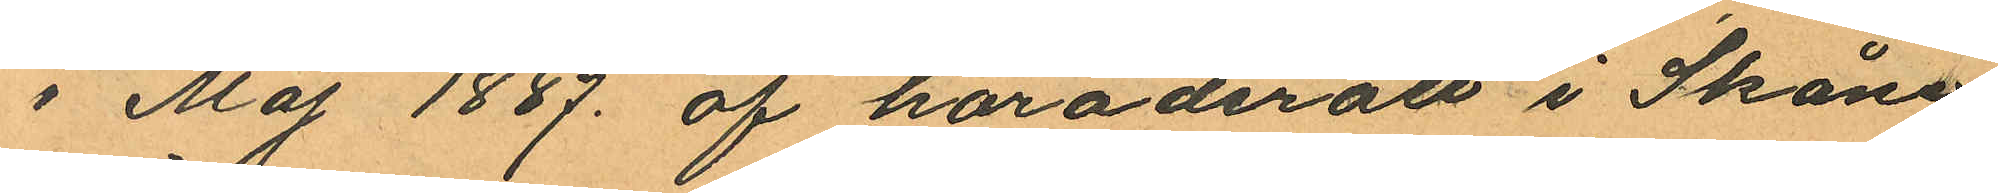i Maj 1887 af häradsrätt i Skåne
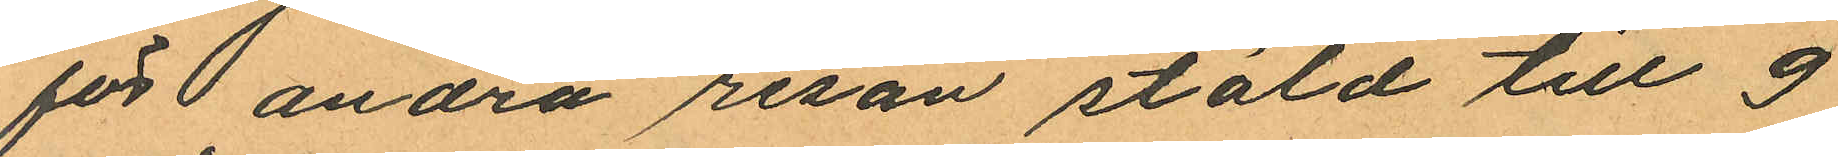för  andra resan stöld till 9
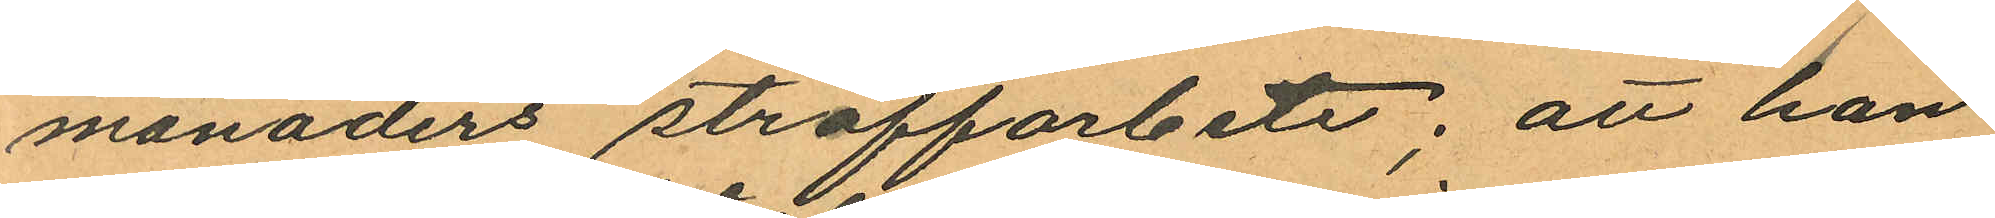månaders straffarbete; att han
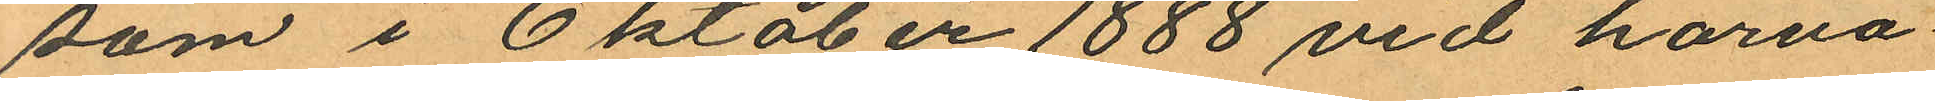som i Oktober 1888 vid harva¬
